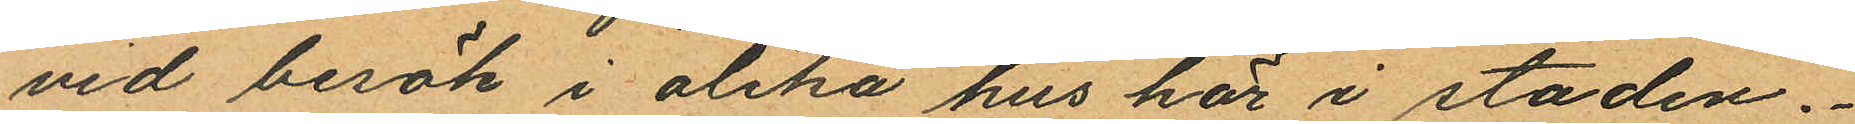vid besök i olika hus här i staden.
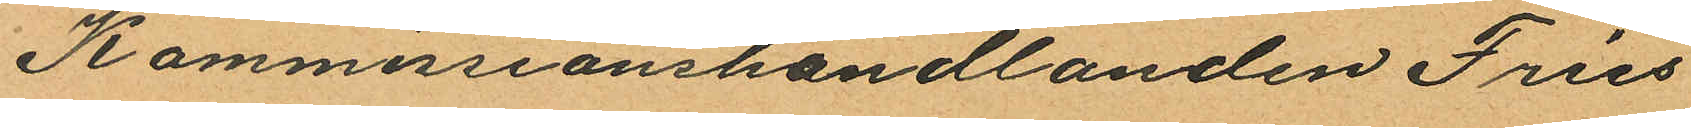Kommissionshandlanden Fries
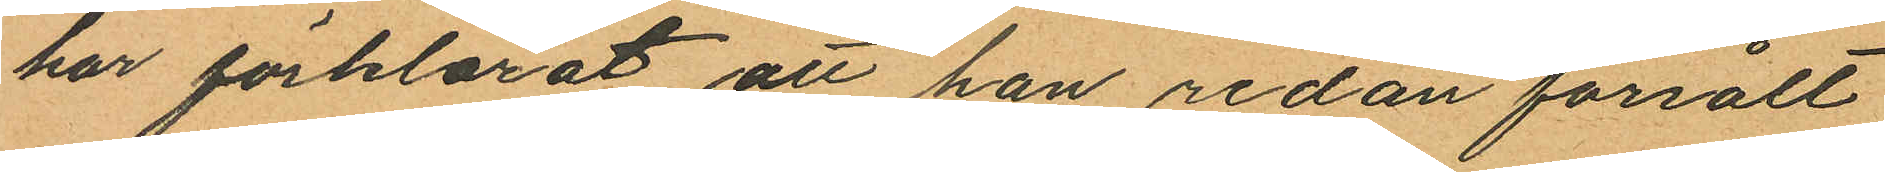har förklarat att han redan försålt
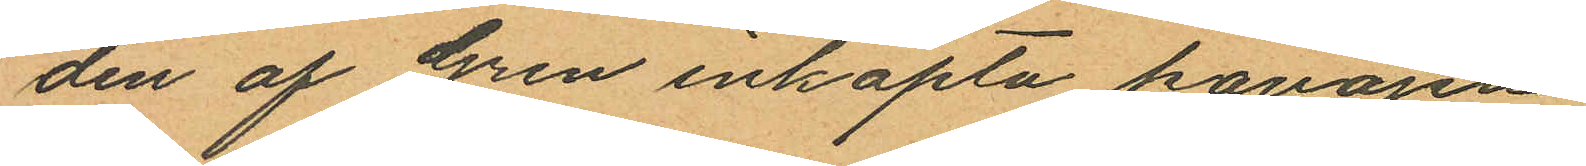den af Gren inköpta kavajen
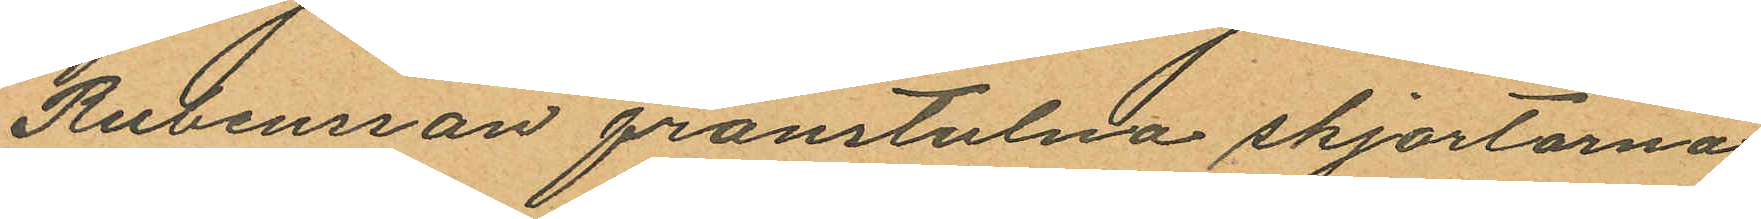Rubensson frånstulna skjortorna
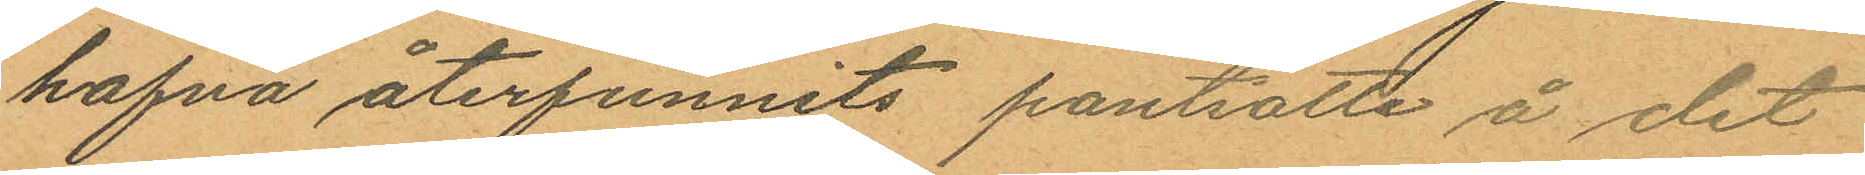hafva återfunnits pantsatte å det
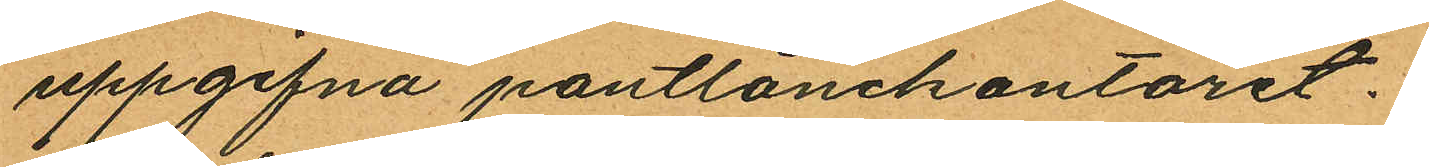uppgifna pantlånekontoret.
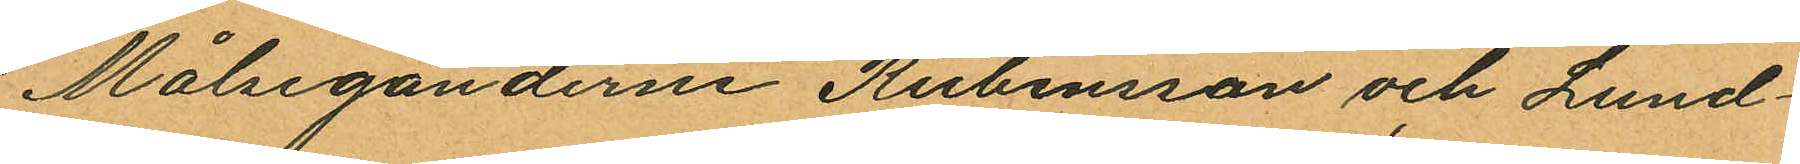Målseganderne Rubensson och Lund¬
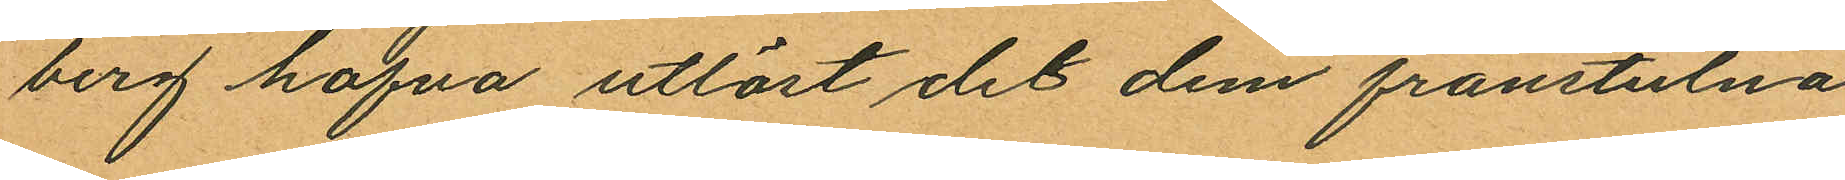berg hafva utlöst det dem frånstulna
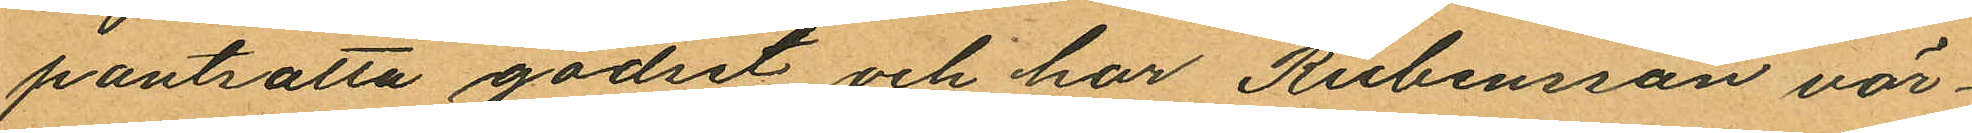pantsatta godset och har Rubensson vär¬
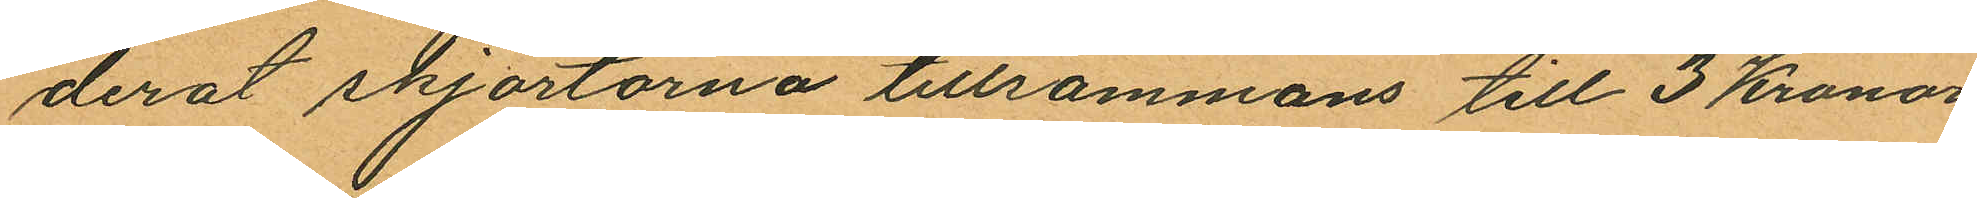derat skjortorna tillsammans till 3 Kronor
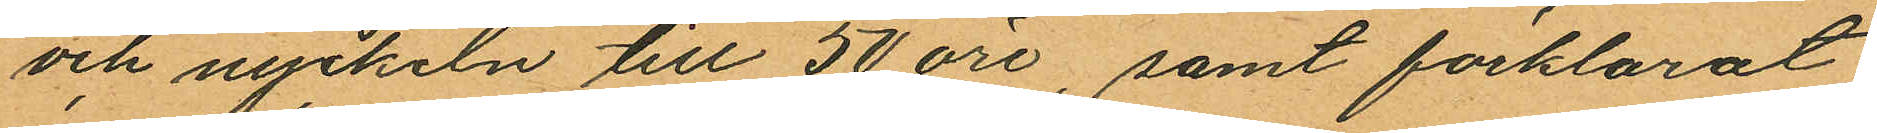och nyckeln till 50 öre, samt förklarat
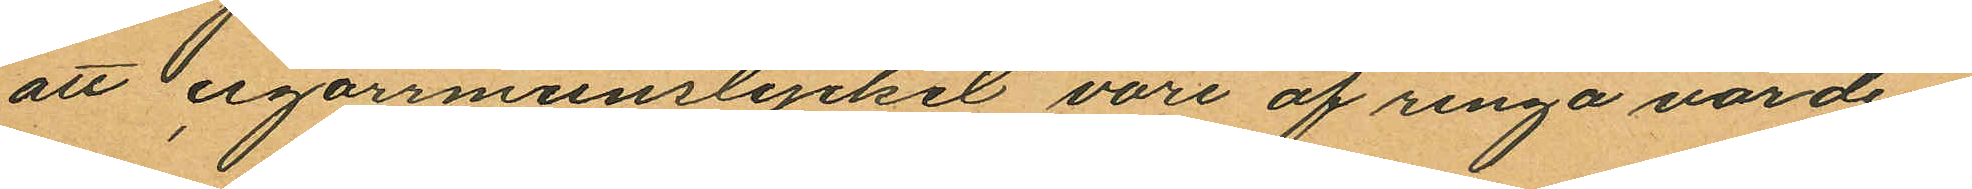att cigarrmunstycket vore af ringa värde.
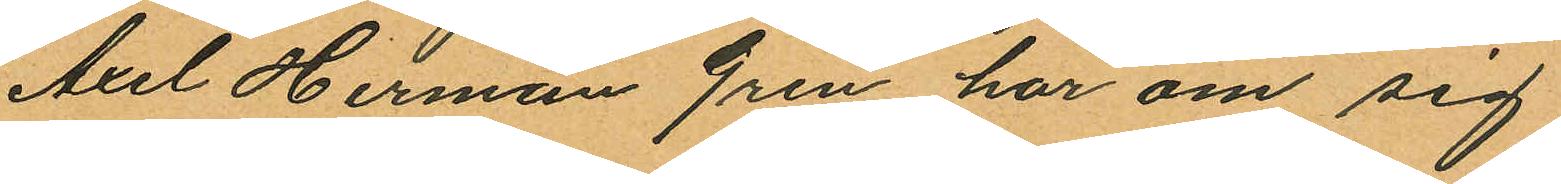Axel Herman Gren har om sig
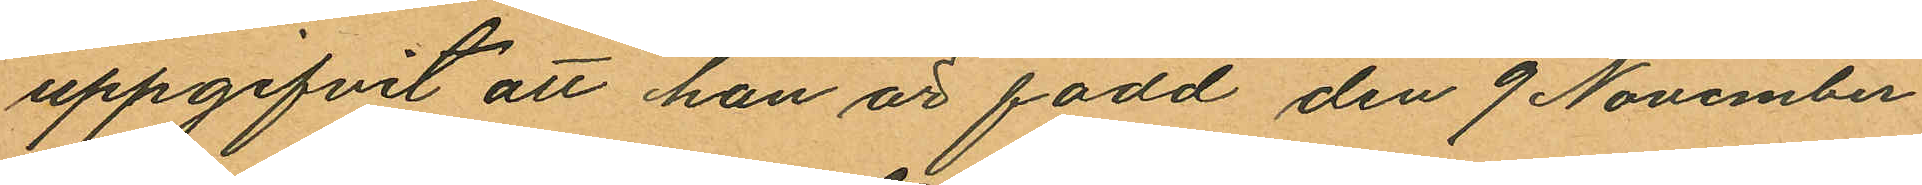uppgifvit att han är född den 9 November
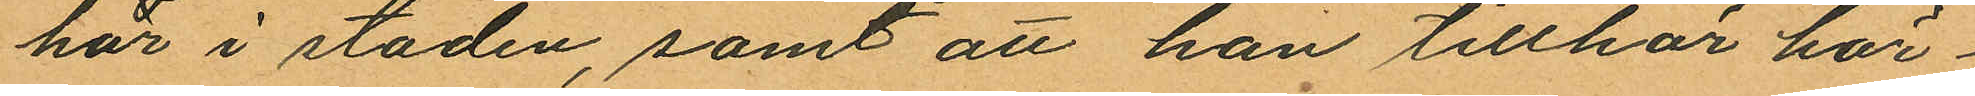här i staden, samt att han tillhör här¬
